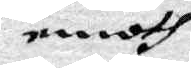emoth
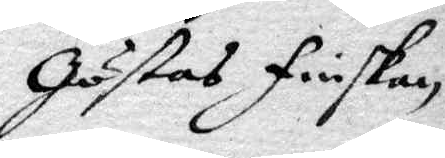Göstas Finskan.
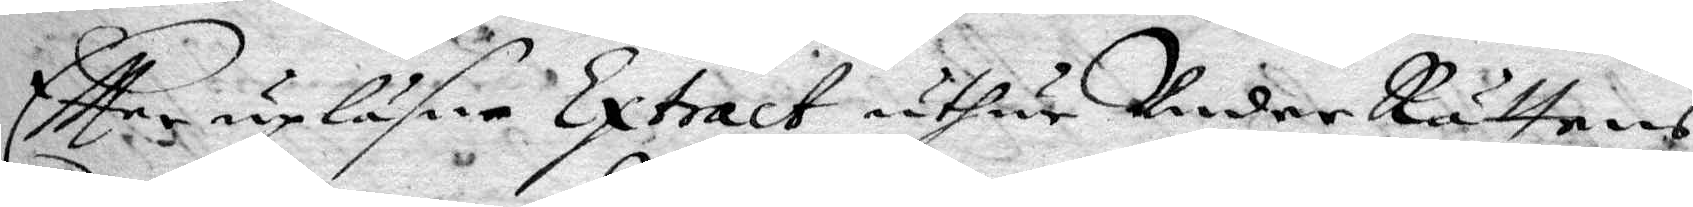eftter upläsen Extract uthur UnderRättens
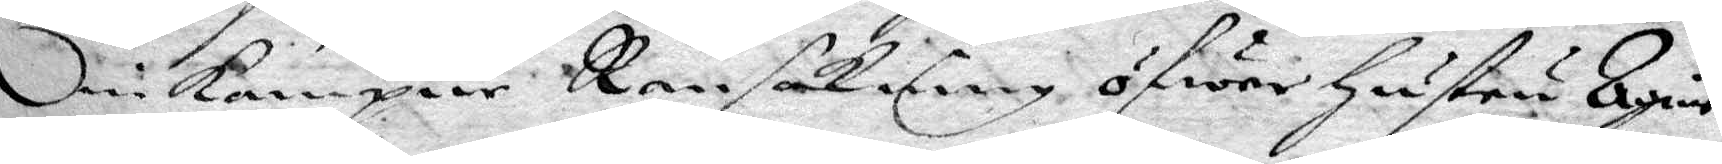inkompne Ransakning öfwer hustru Agnis
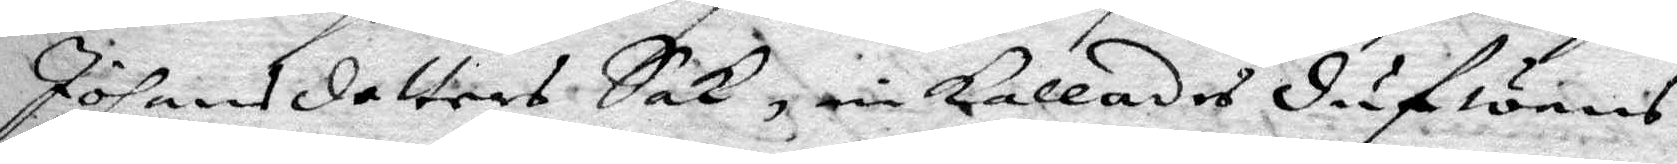Johansdotters Sak, inkallades dufwans
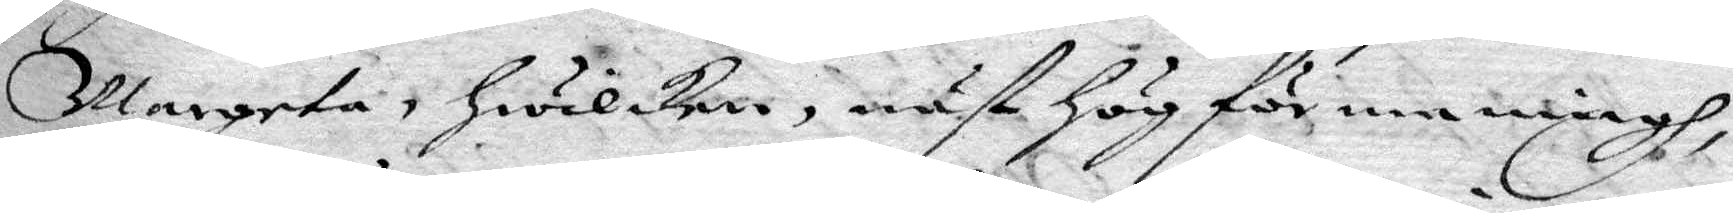Margeta, hwilken, näst hög förmaningh
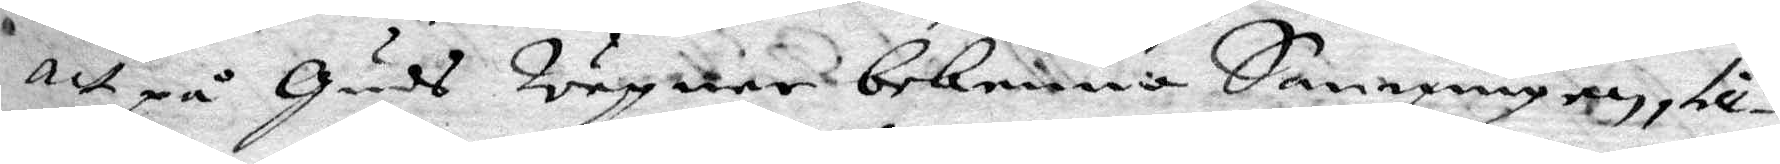att på Huds Wägnar bekenna Sanningen, till¬
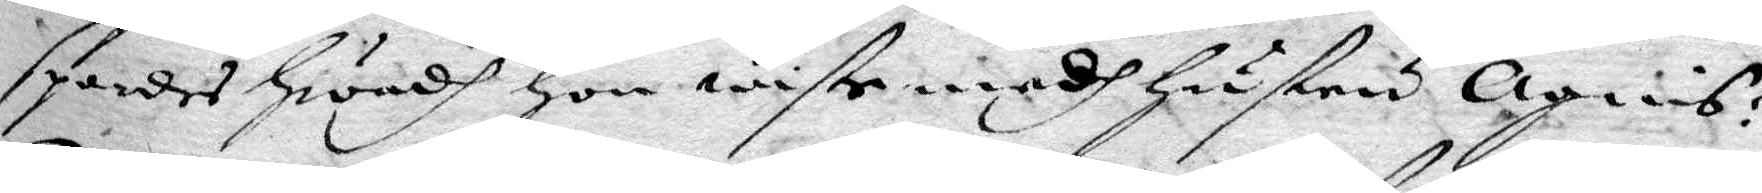spordes hwadh hon wiste medh hustru Agnis?
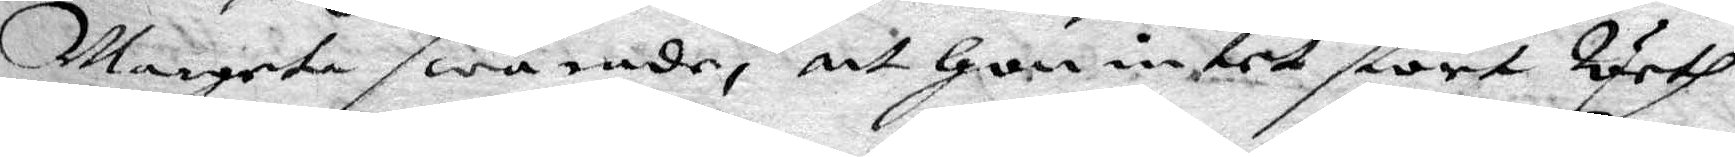Margeta swarade, att hon intet stort Weth
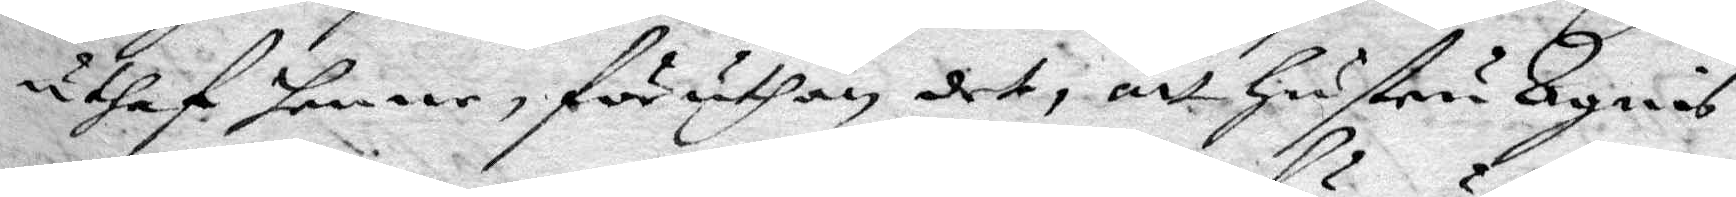iuthaf henne, föruthan det, att hustru Agnis
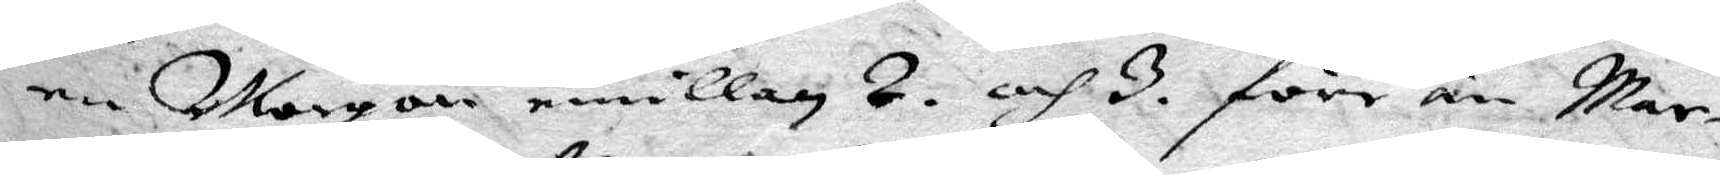en Morgon emillan 2. och 3. före än Mar¬
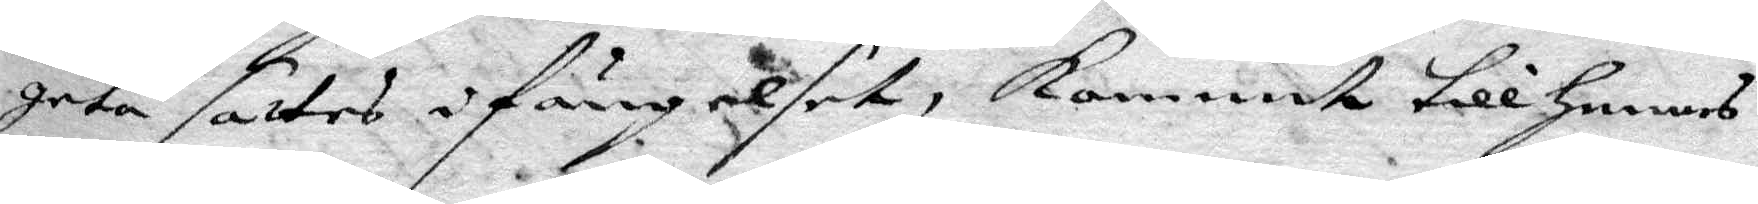geta sattes i Fängelset, kommit till hennes
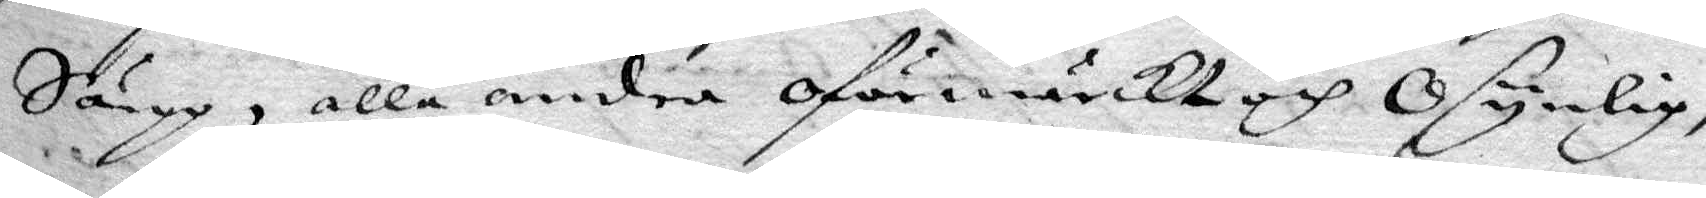Sängg, alle andra oförmärckt och Osynlig,
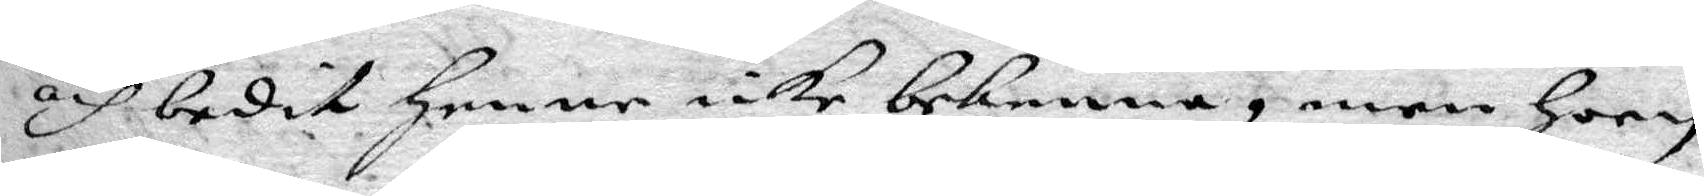och bedit henne icke bekenna, men hoon
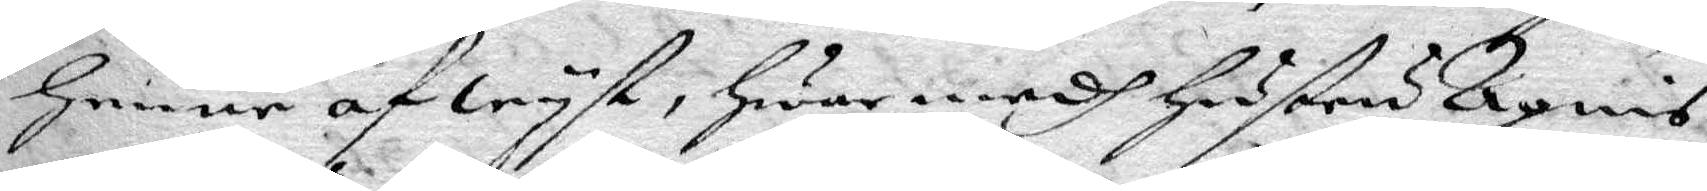henne afwyst, hwar medh hustru Agnis
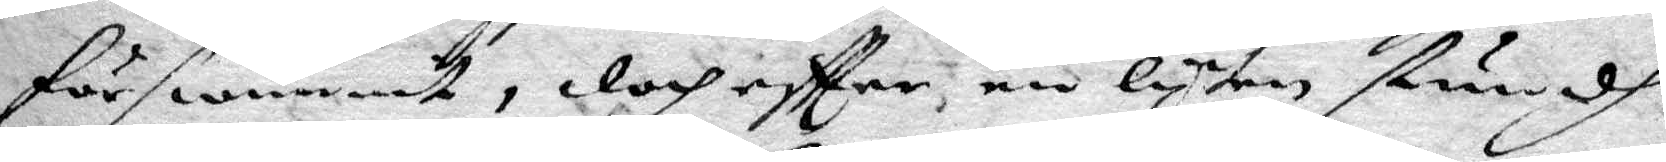förswunnit, doch eftter, en lyten stundh
